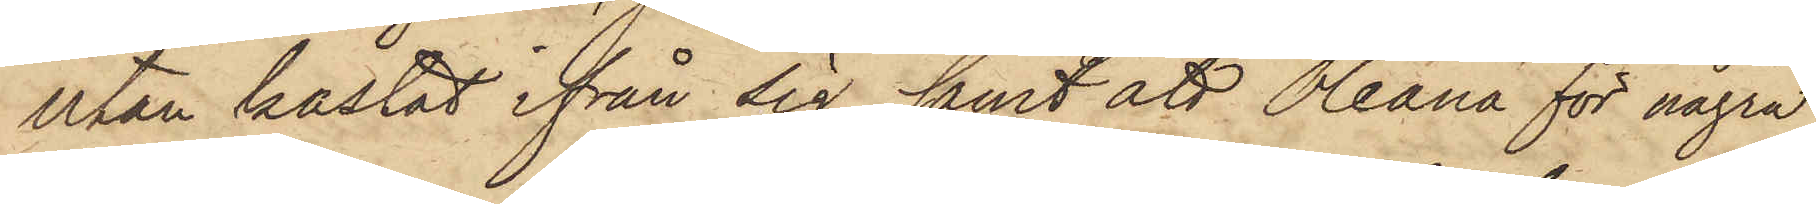utan kastat ifrån sig, samt att Oleana för några
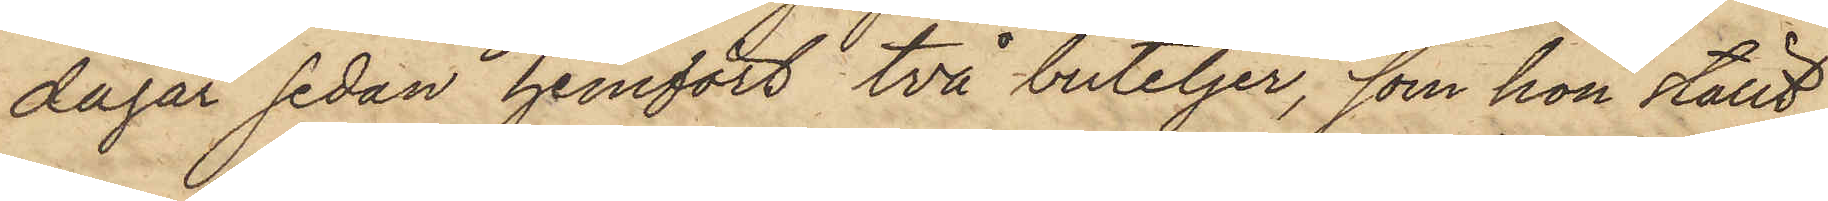dagar sedan hemfört två buteljer, som hon ställt
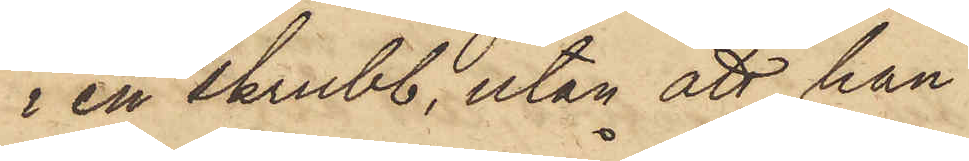i en skrubb, utan att han
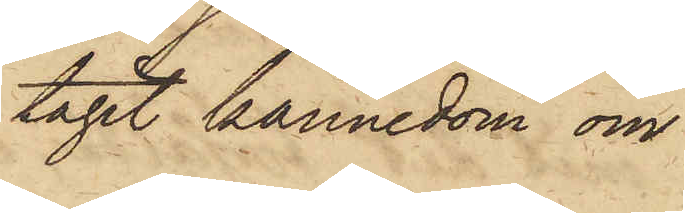tagit kännedom om
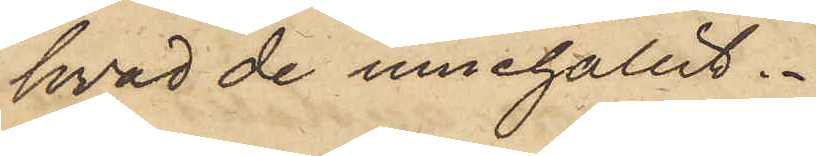hvad de innehållit.
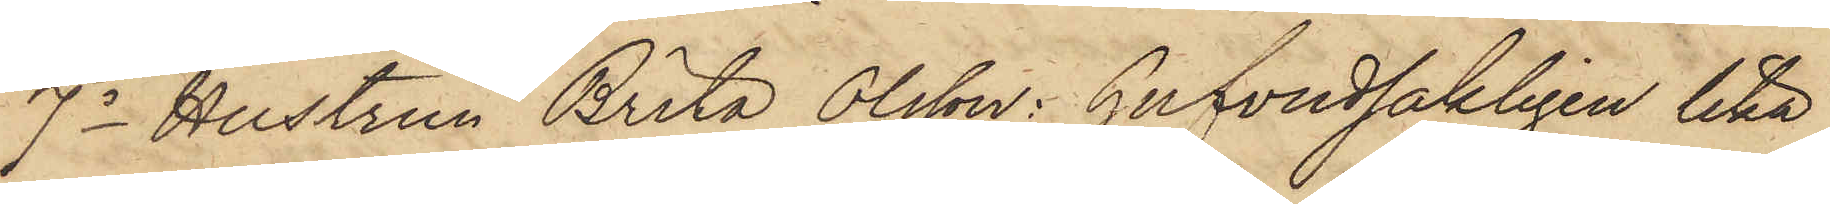7o Hustrun Brita Olsson: hufvudsakligen lika
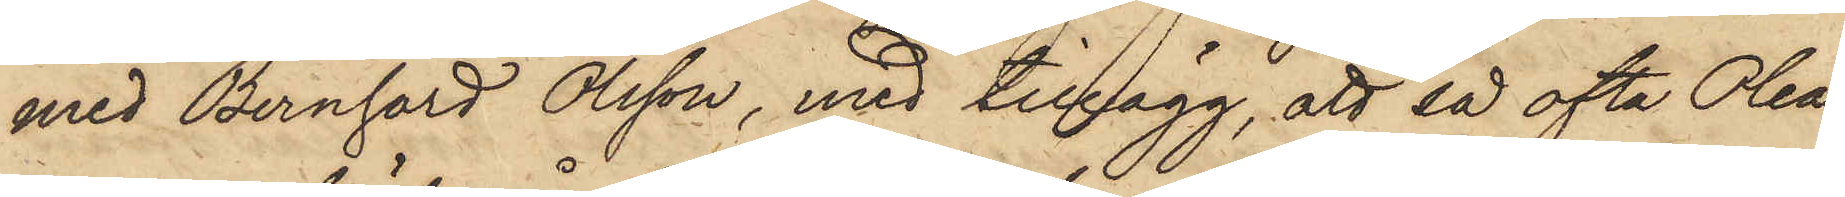med Bernhard Olsson, med tillägg, att så ofta Olea¬
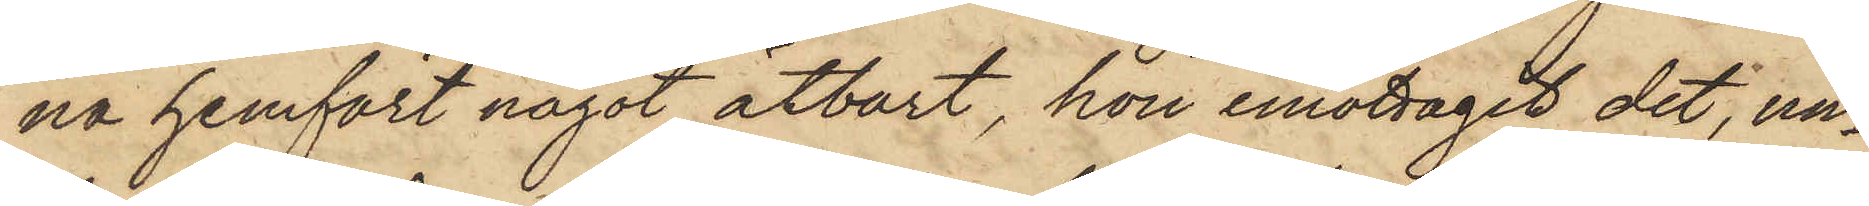na hemfört något åtbärt, hon emottagit det, un¬
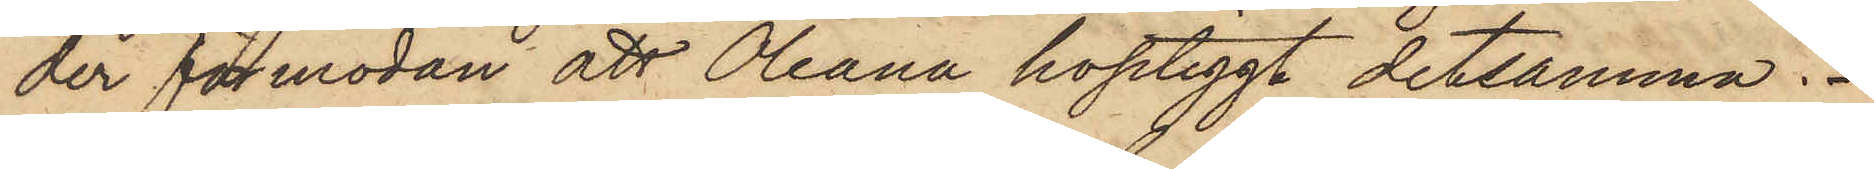der förmodan att Oleana hoptiggt detsamma.
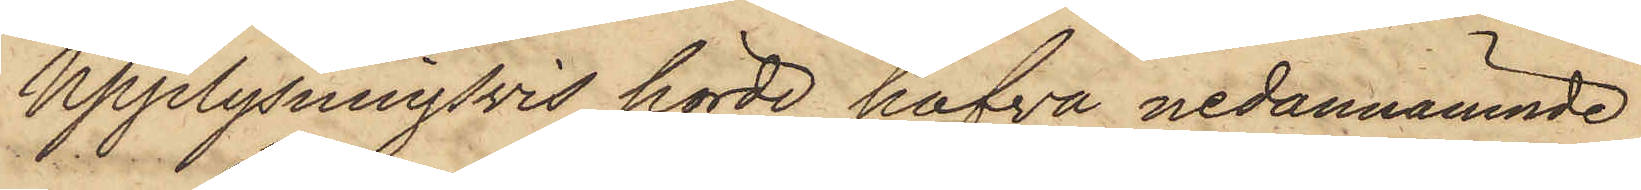Upplysningsvis hörde hafva nedannämnde
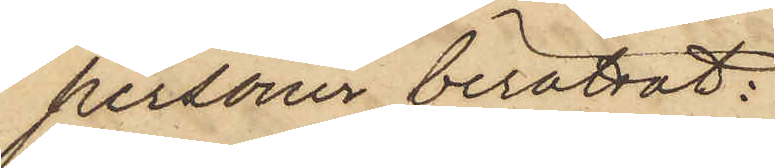personer berättat:
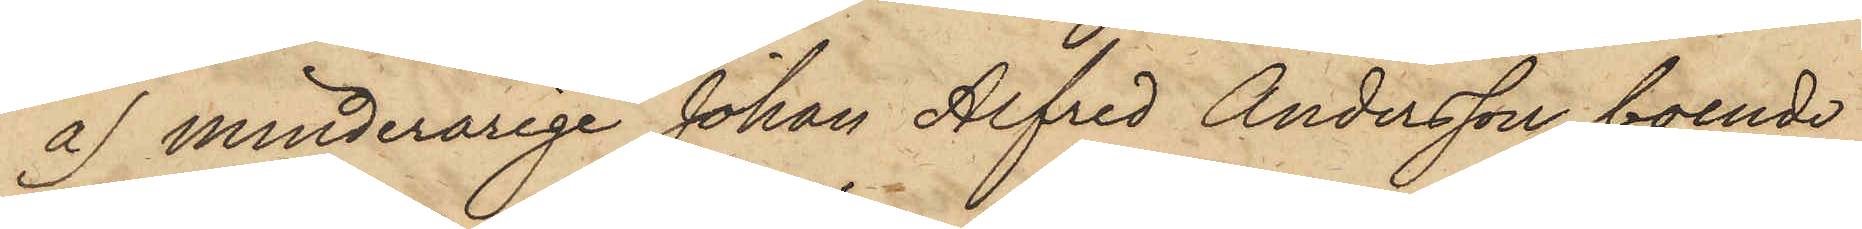a) minderårige Johan Alfred Andersson, boende
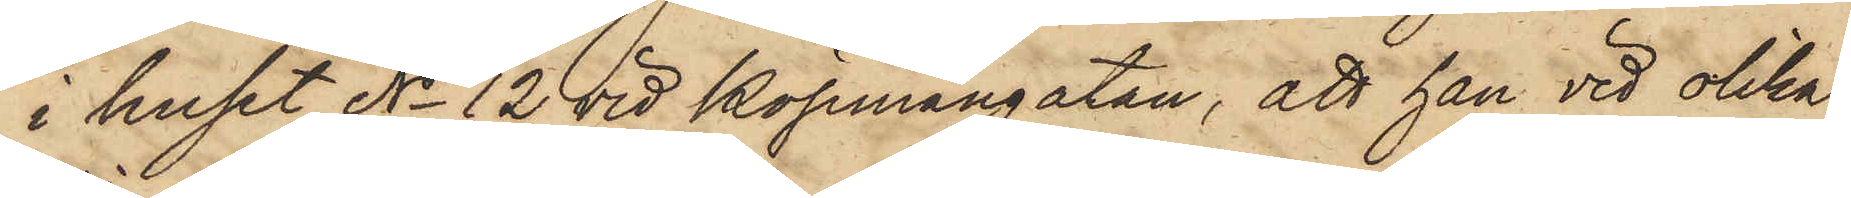i huset No 12 vid Köpmangatan, att han vid olika
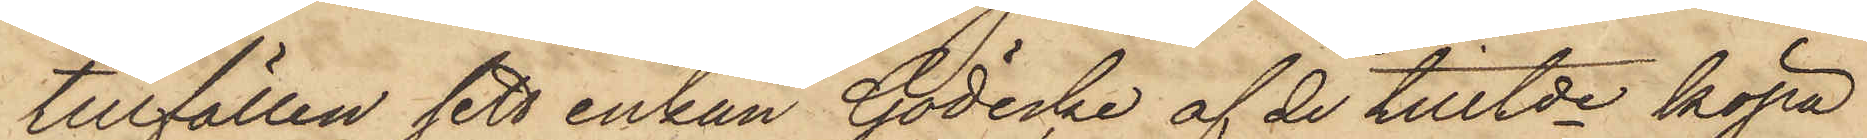tillfällen sett enkan Gödecke af de tilltde köpa
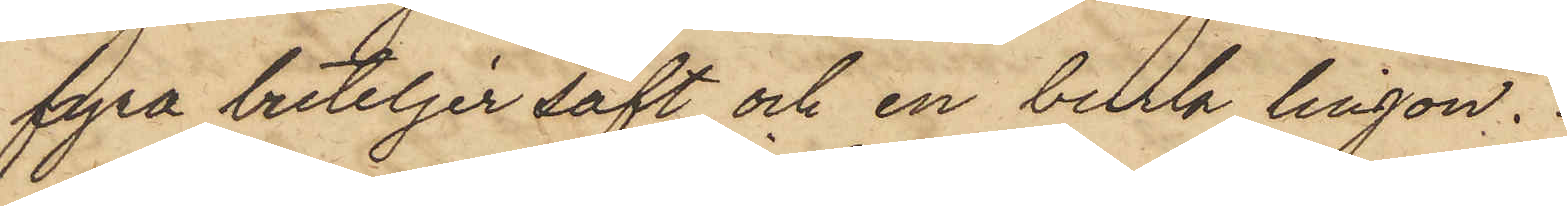fyra buteljer saft och en burk lingon.
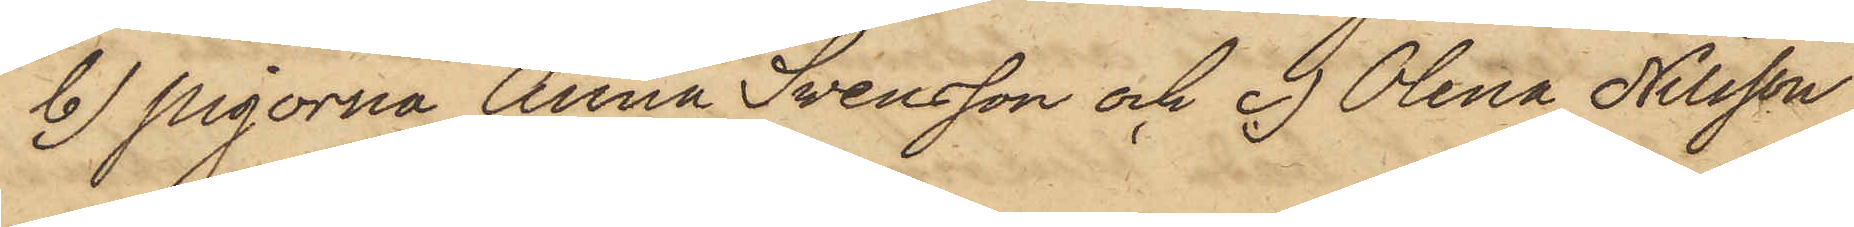b) Pigorna Anna Svensson och c) Olena Nilsson,
